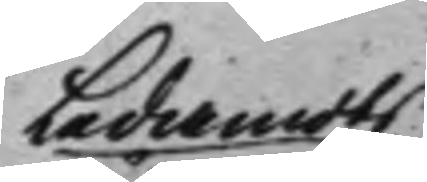Ledamots
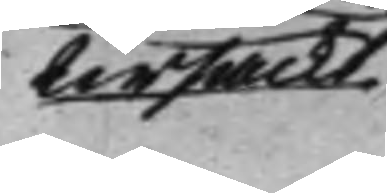Ursäckt
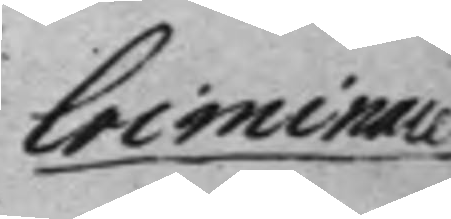Criminale
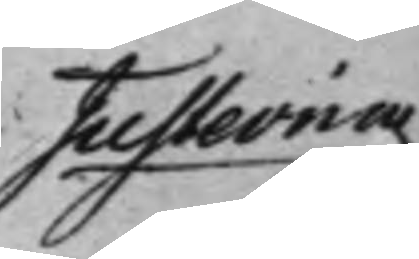Justering
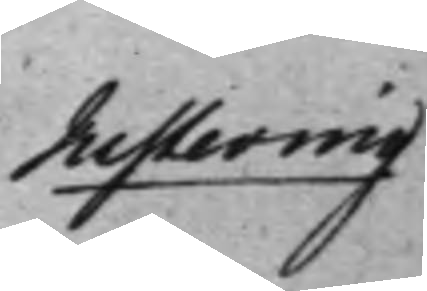Justering
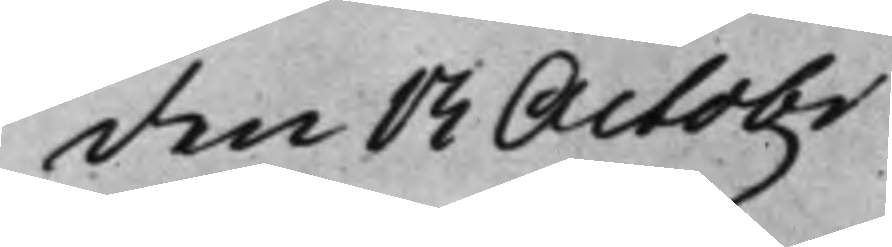den 13 Octob.r
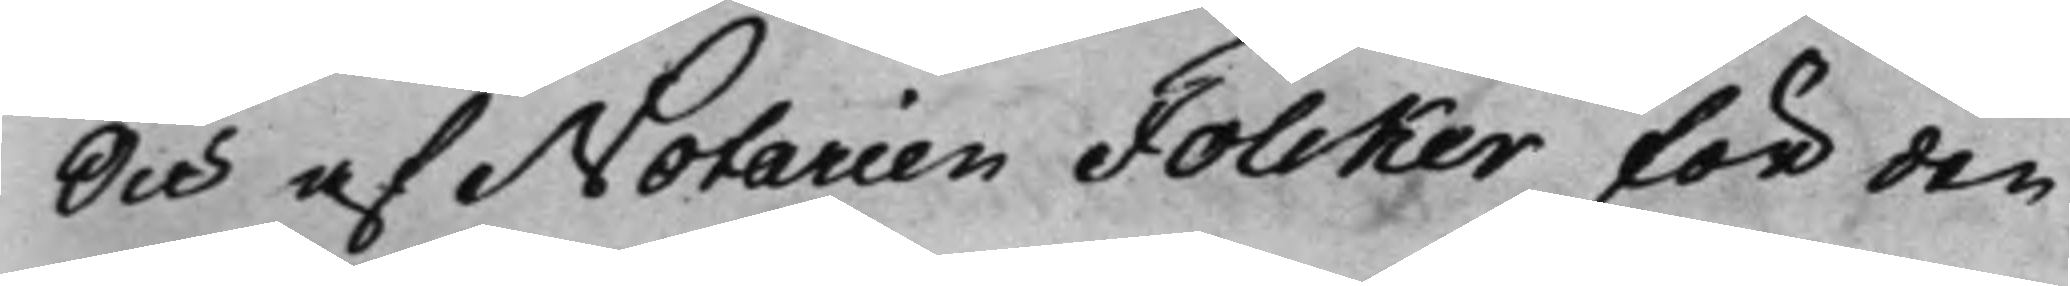Och af Notarien Folcker för den
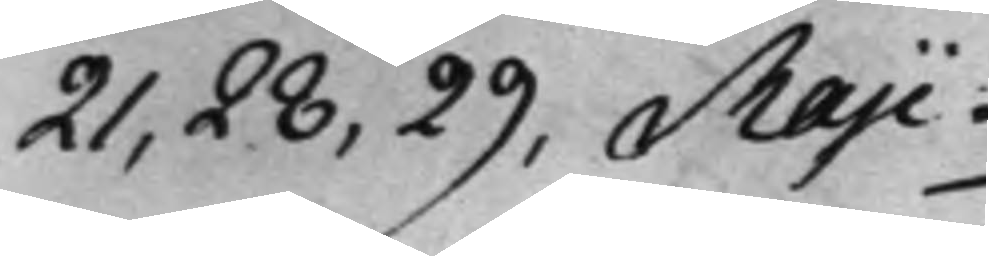21, 28, 29, Maji.
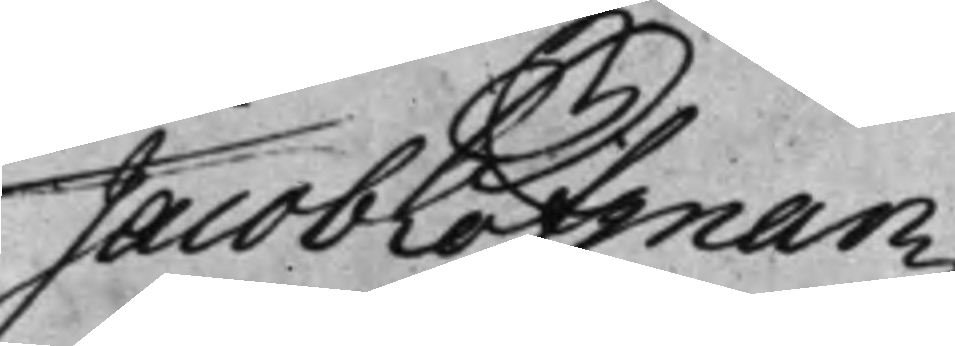Jacob Löfman
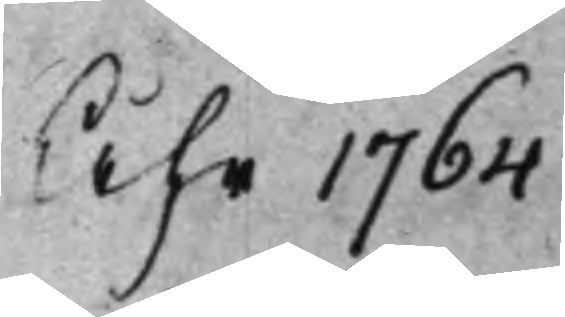Åhr 1764
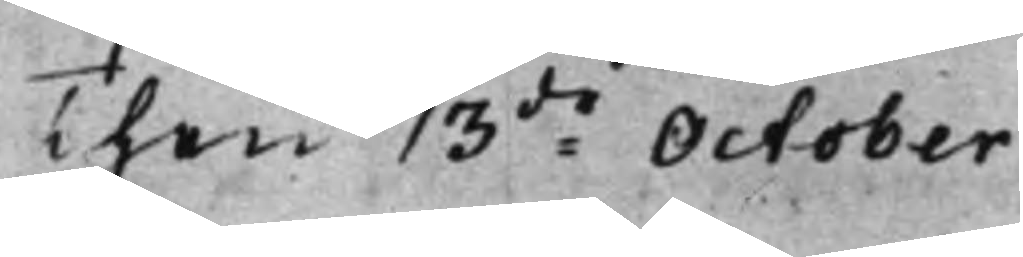Then 13de October
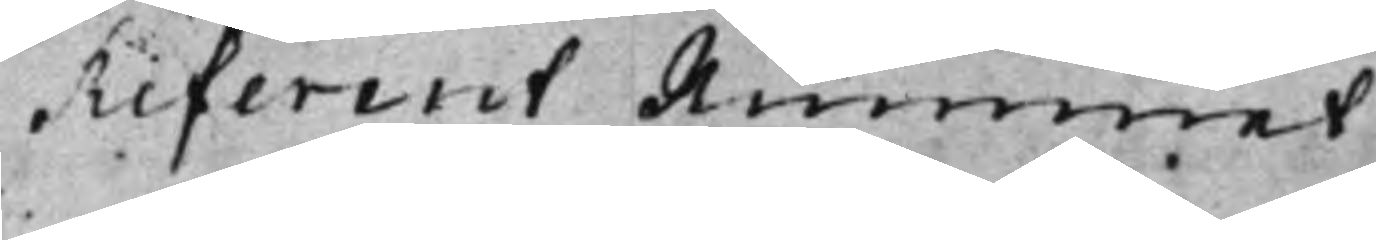Referent Rummet
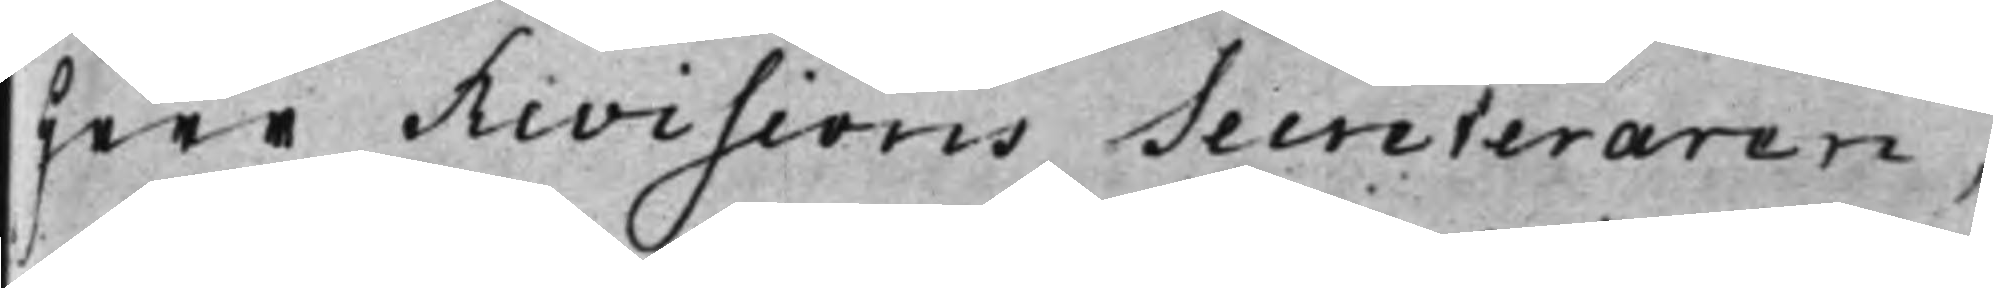Herr Revisions Secreteraren,
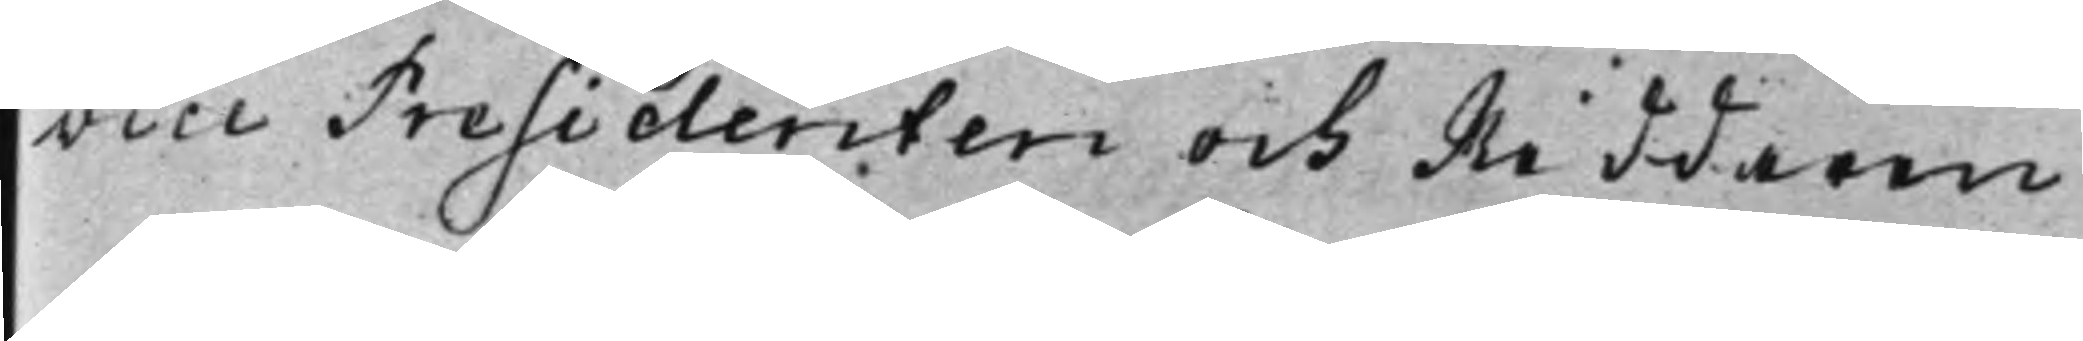vice Presidenten och Riddaren
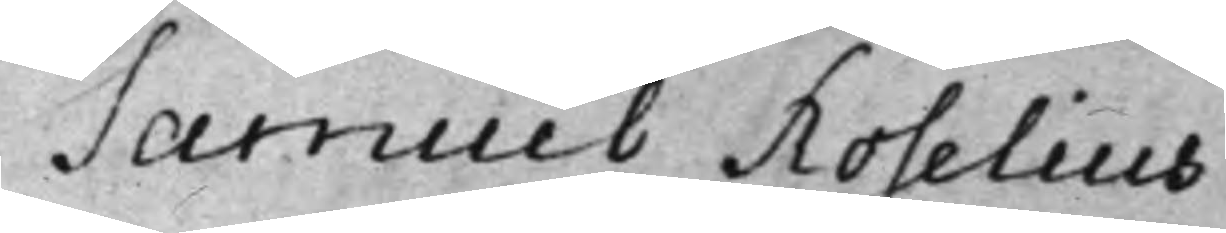Samuel Roselius
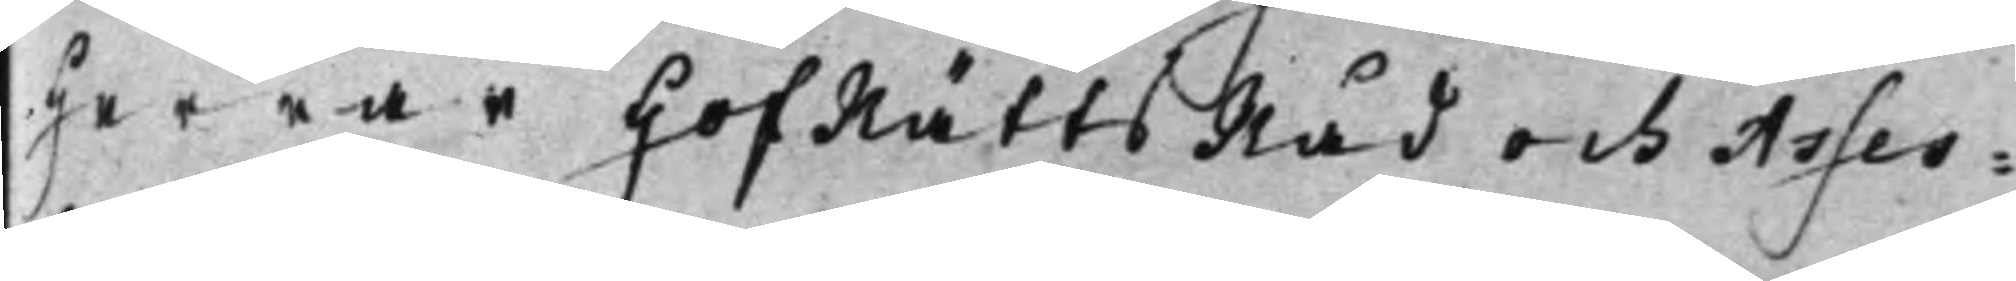Herrar HofRättsRåd och Asses¬
